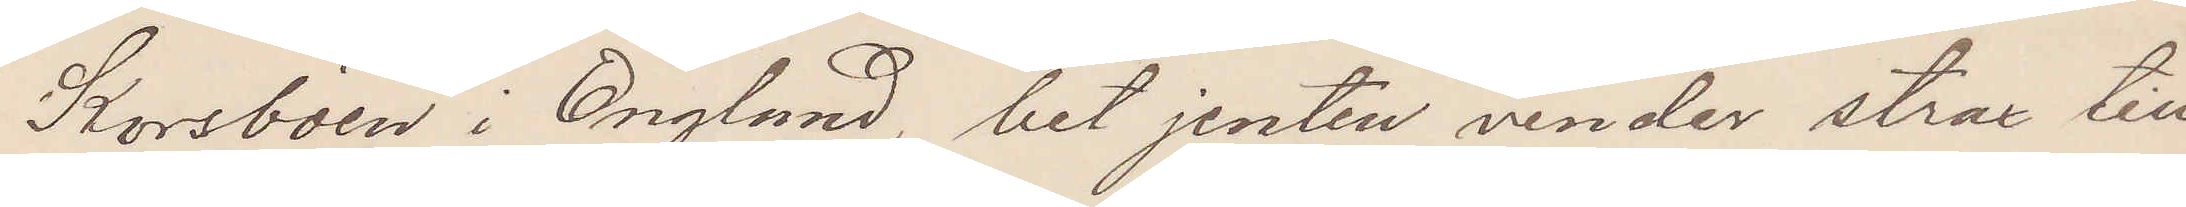Korsböen i England, bet jenten vender strax till¬
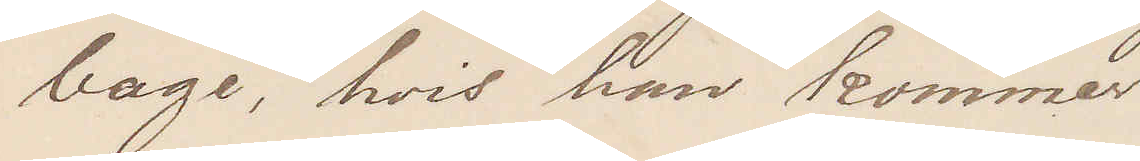bage, hvis han kommer
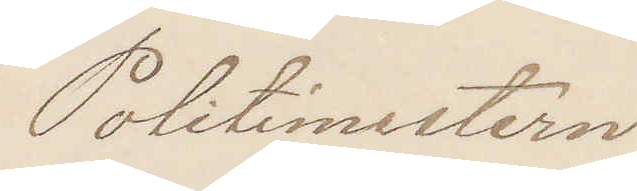Politimestern
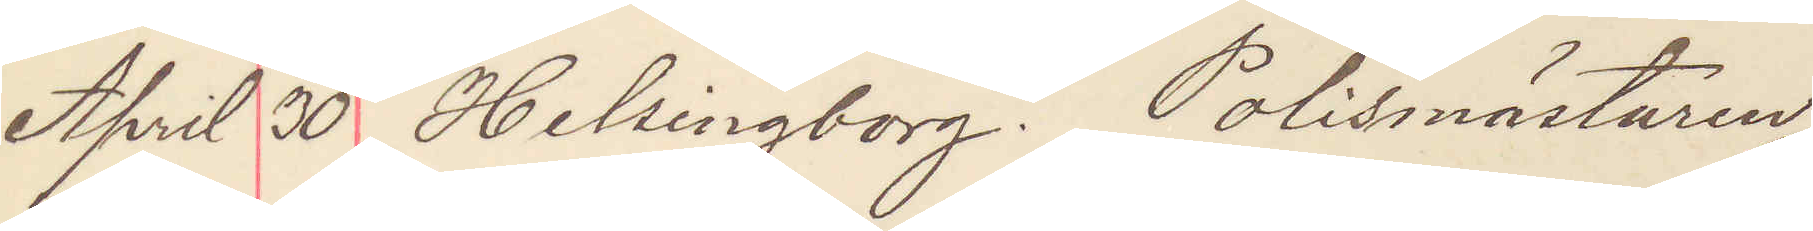April 30 Helsingborg. Polismästaren
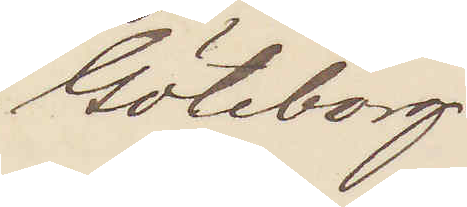Göteborg
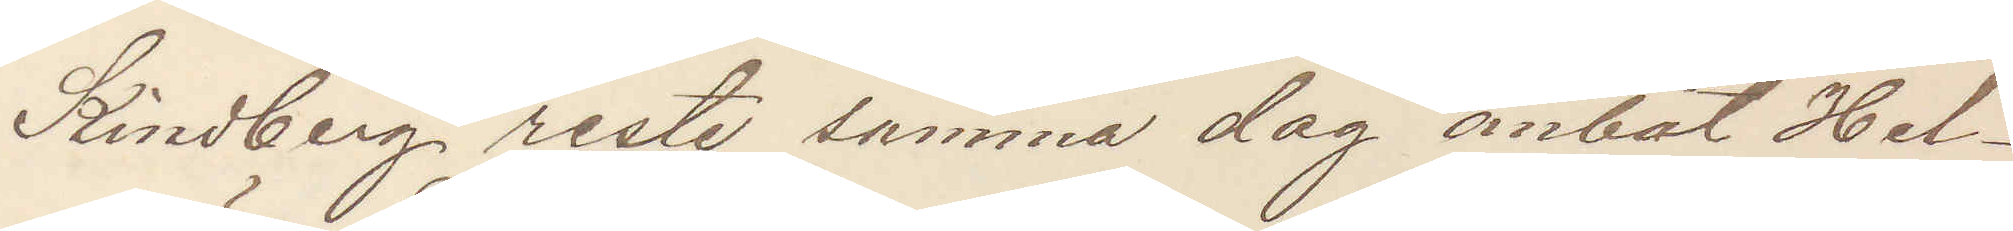Kindberg reste samma dag ånbåt Hel¬
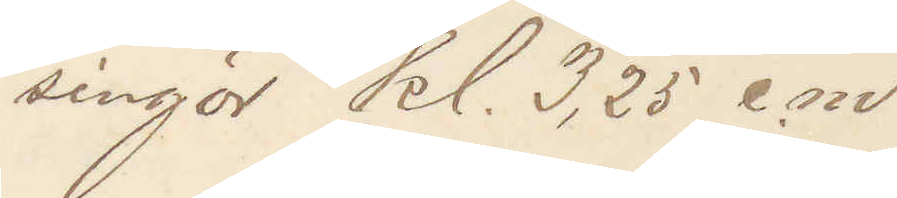singör kl. 3,25 e. m. 
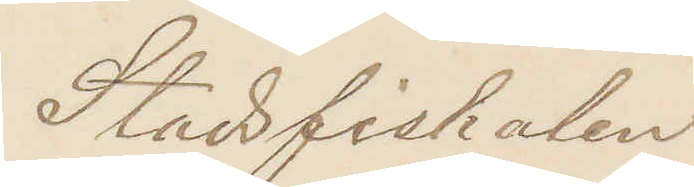Stadsfiskalen
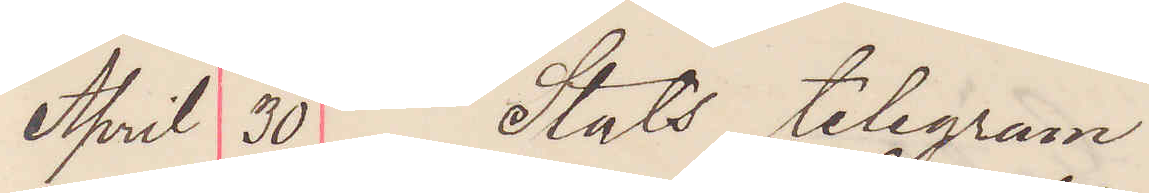April 30 Stats telegram
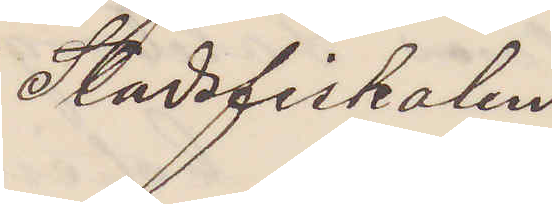Stadsfiskalen
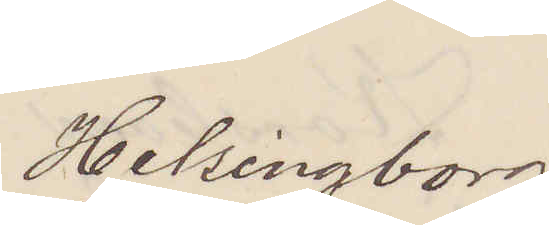Helsingborg.
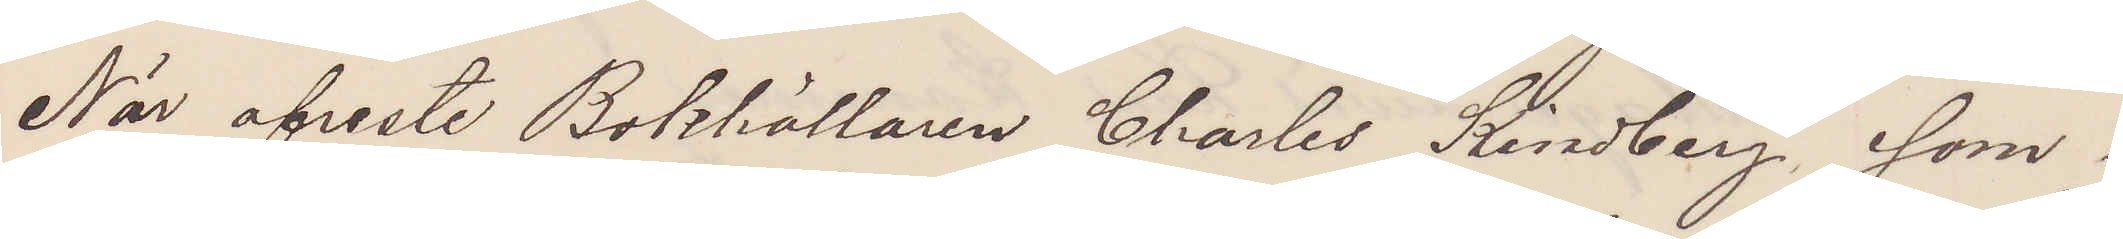När afreste Bokhållaren Charles Kindberg som i
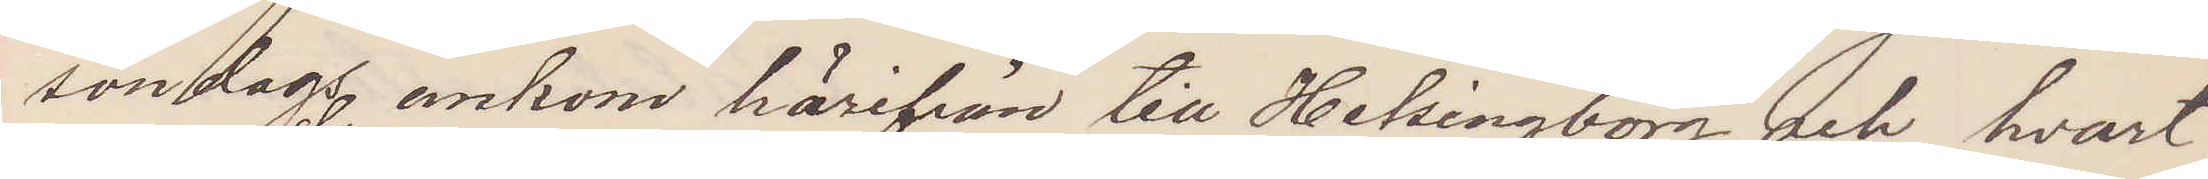söndags ankom härifrån till Helsingborg och hvart¬
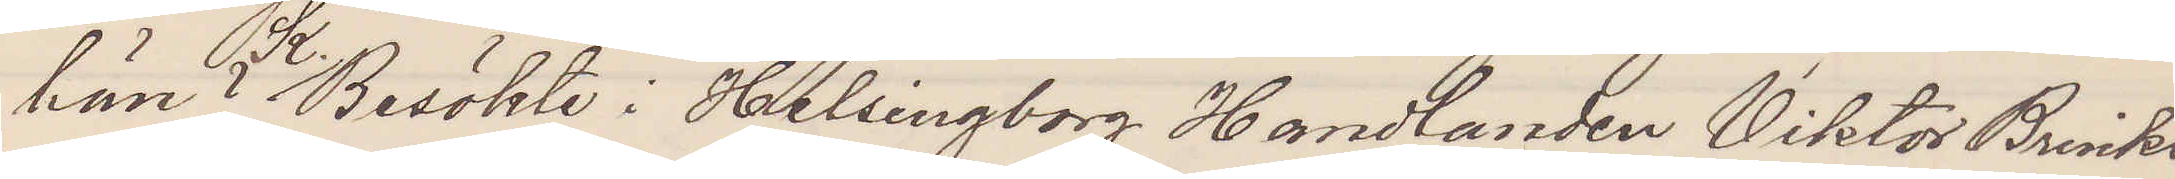hän? K. Besökte i Helsingborg Handlanden Viktor Brinks
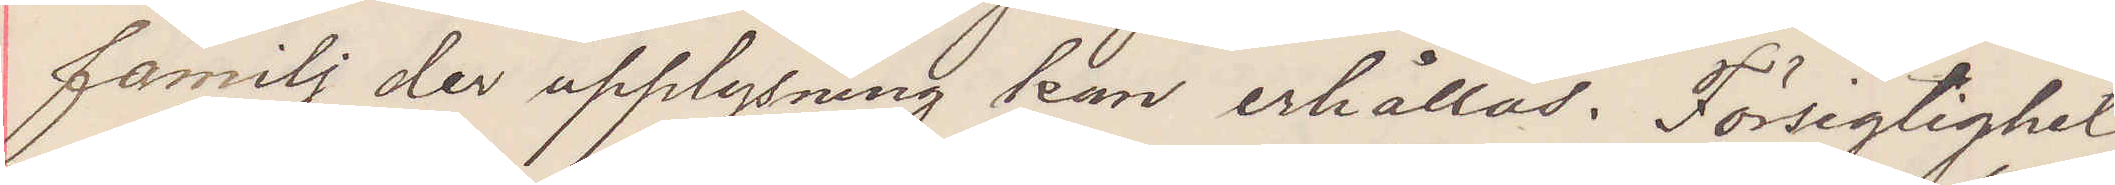familj der upplysning kan erhållas. Försigtighet
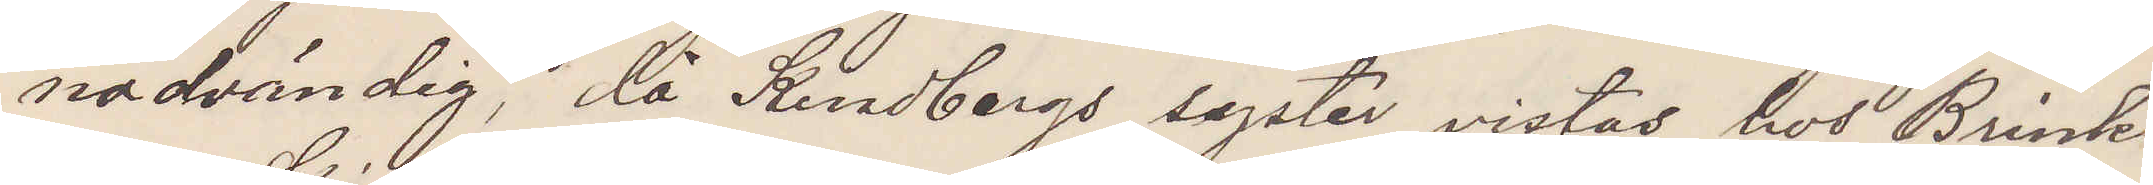nödvändig, då Kindbergs syster vistas hos Brinks.
